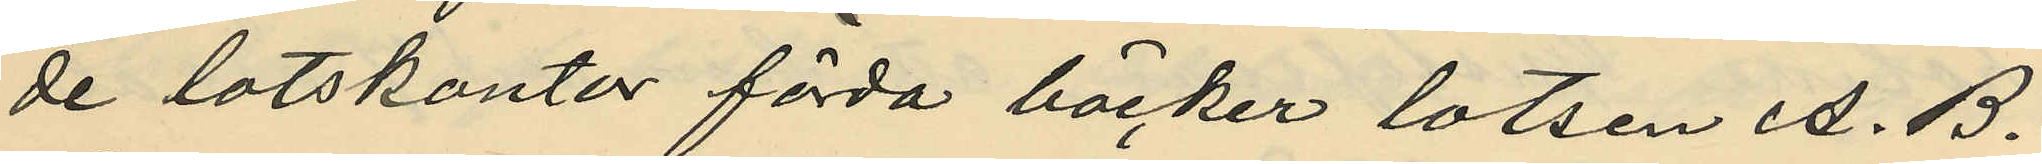de lotskontor förda böcker lotsen A. B.
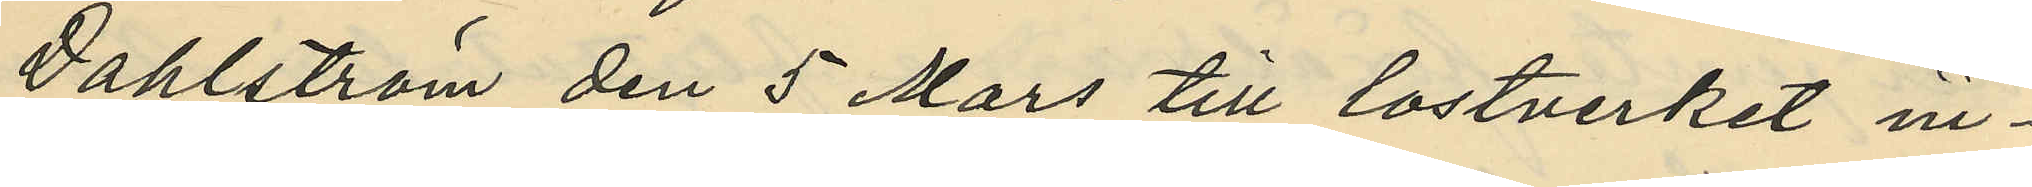Dahlström den 5 Mars till lostverket in¬
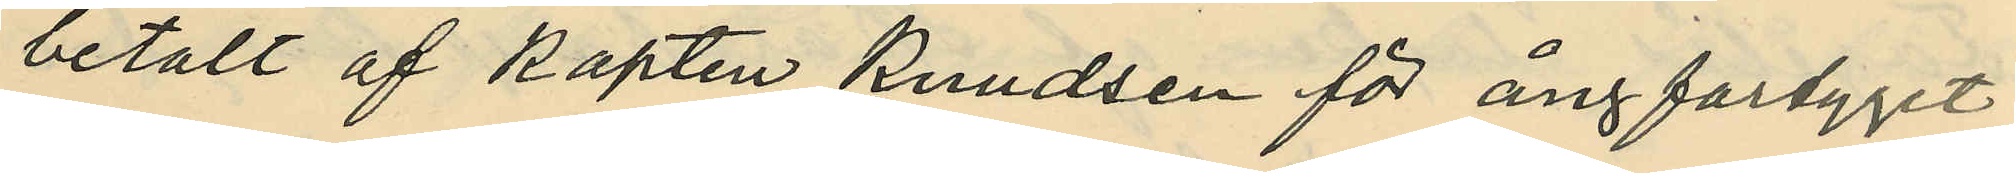betalt af kapten Kundsen för ångfartyget
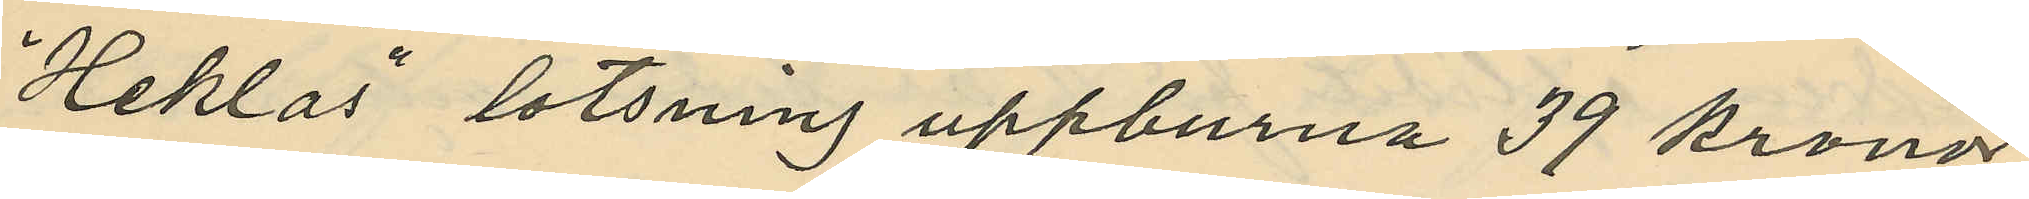"Heklas" lotsning uppburna 39 kronor
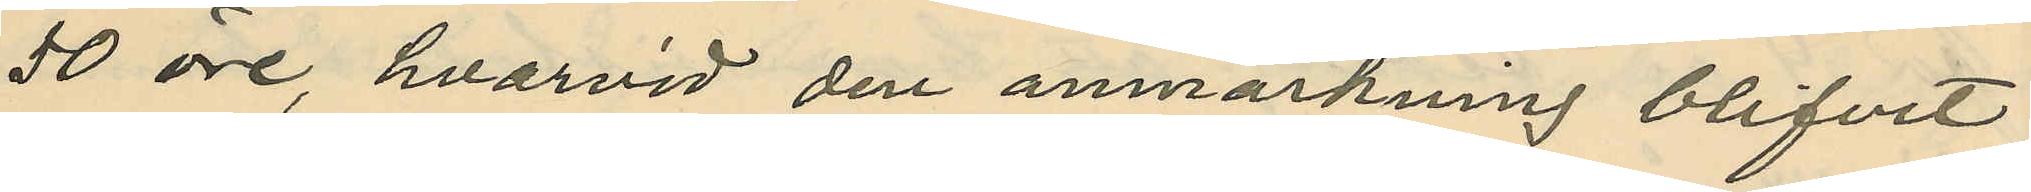50 öre, hvarvid den anmärkning blifvit
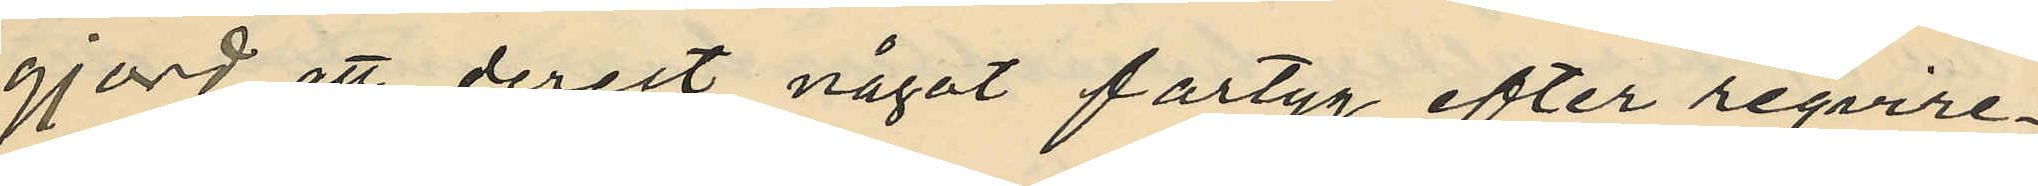gjord, att derest något fartyg efter reqvire¬
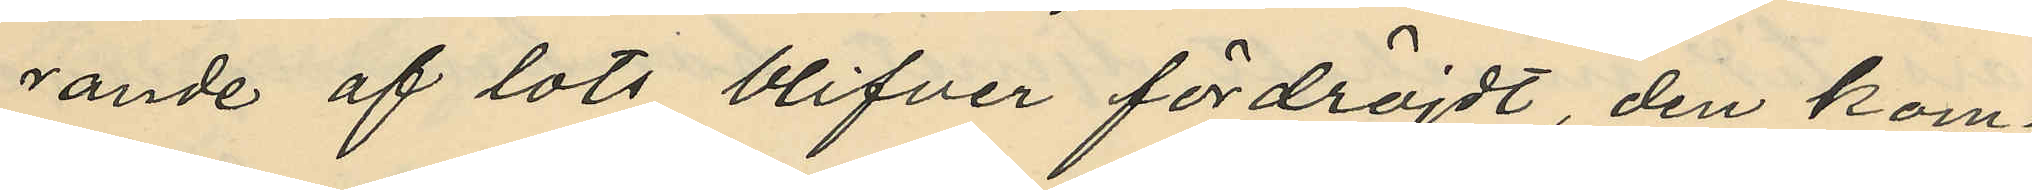rande af lots blifver fördröjdt, den kom¬
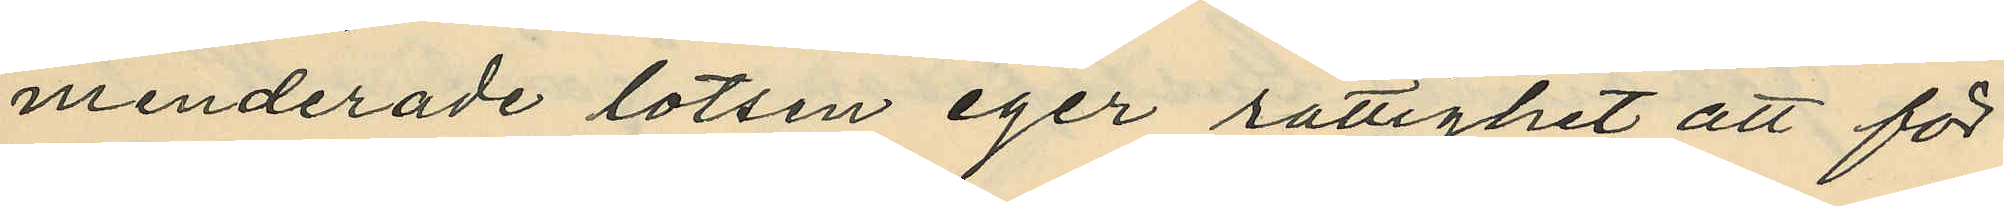menderade lotsen eger rättighet att för
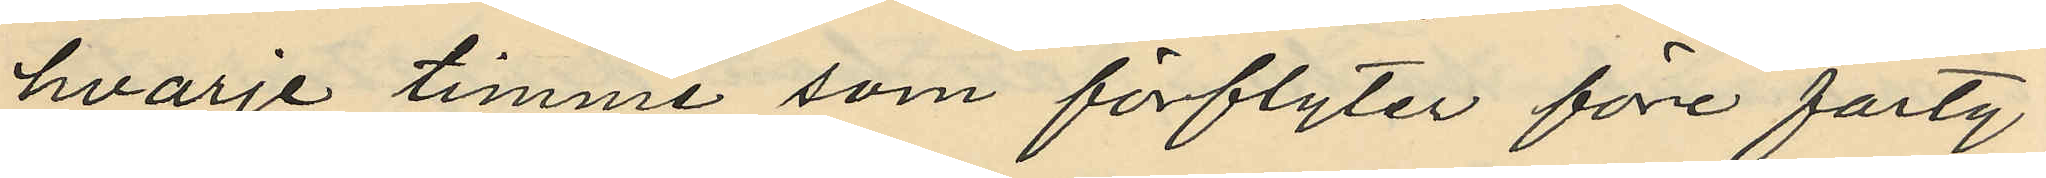hvarje timme som förflyter före farty¬
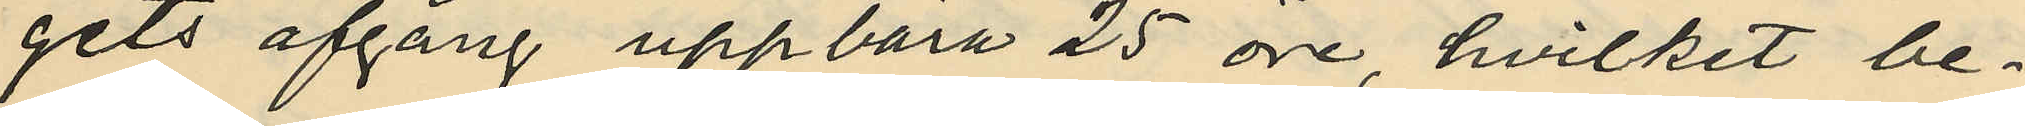gits afgång uppbära 25 öre, hvilket be¬
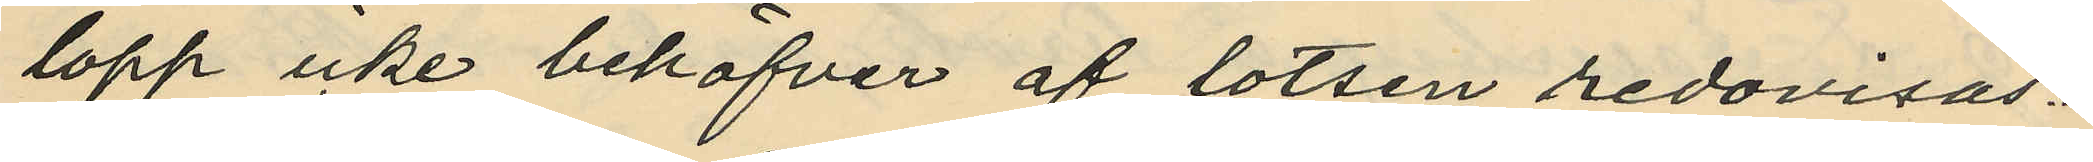lopp icke behöfver af lotsen redovisas.
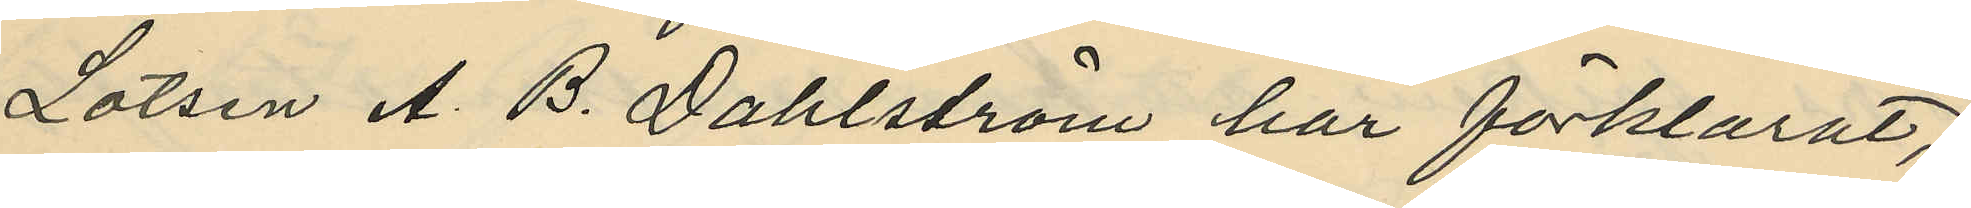Lotsen A. B. Dahlström har förklarat,
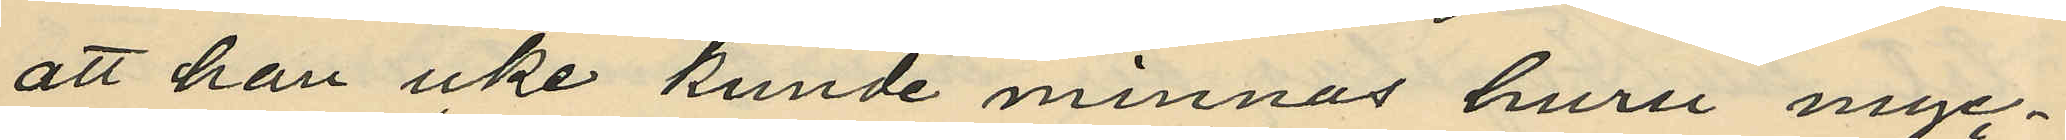att han icke kunde minnas huru myc¬
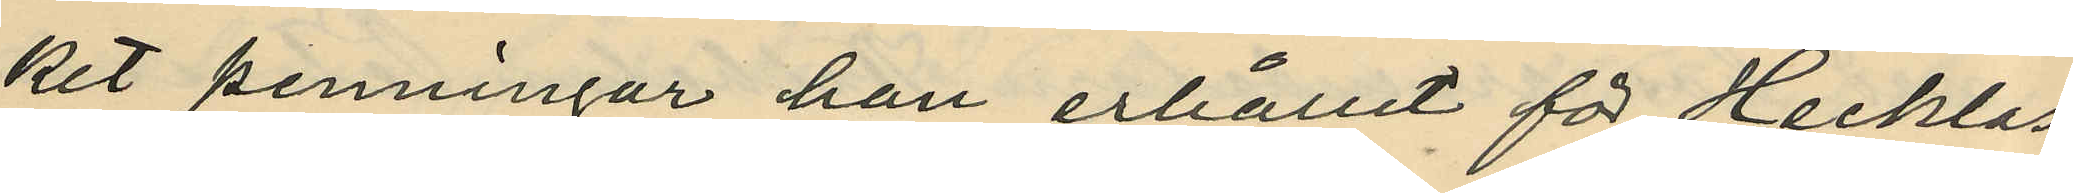ket penningar han erhållit för Hecklas
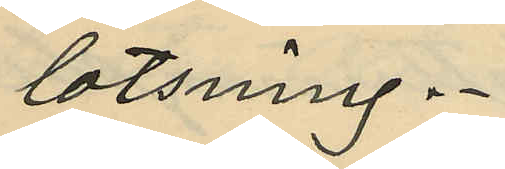lotsning.
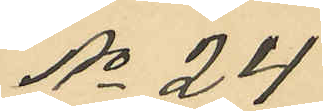No 24
